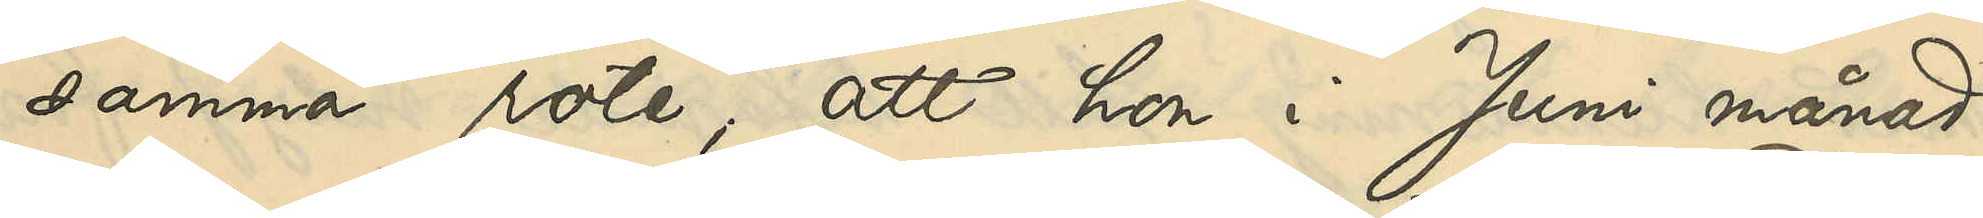samma rote; att hon i Juni månad
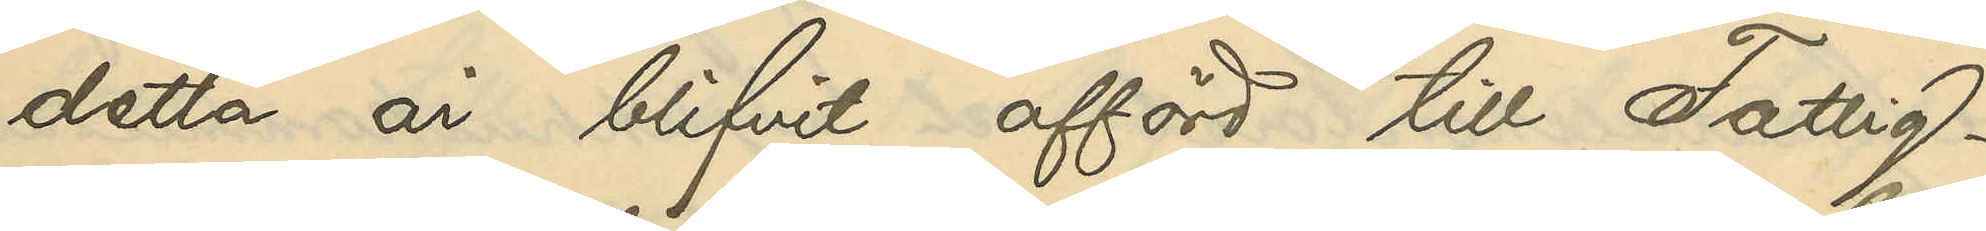detta år blifvit afförd till Fattig¬
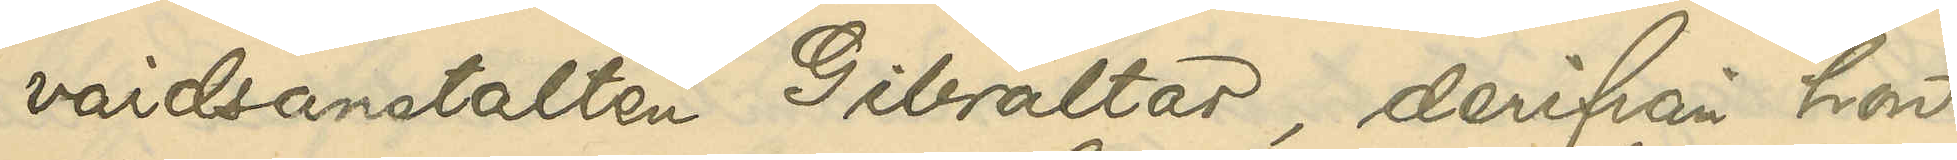vårdsanstalten Gibraltar, derifrån hon
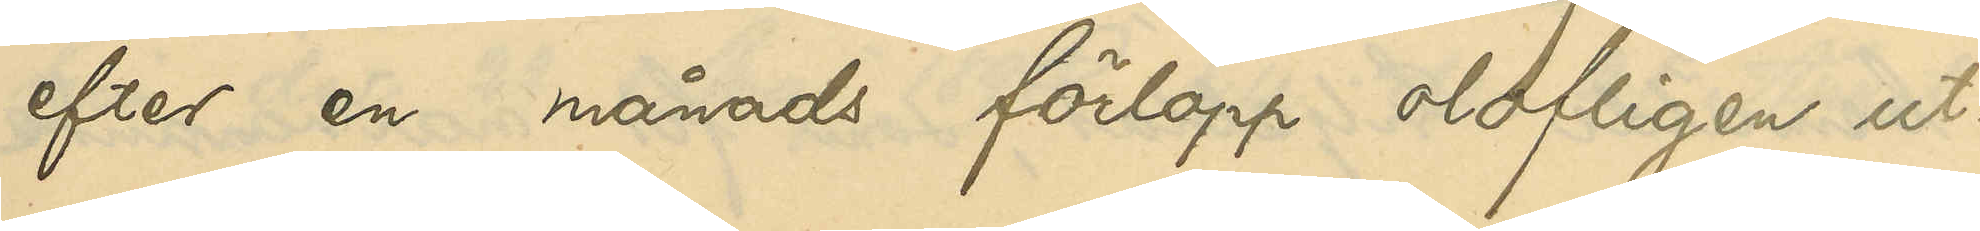efter en månads förlopp olofligen ut¬
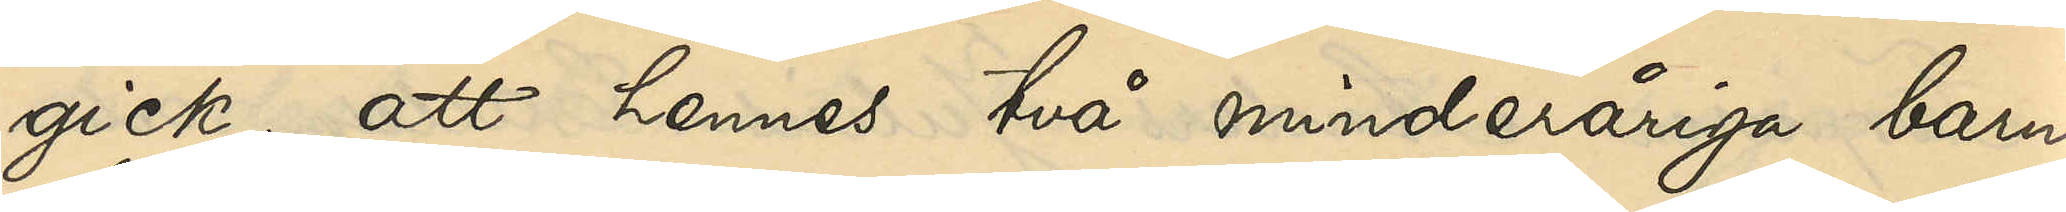gick; att hennes två minderåriga barn
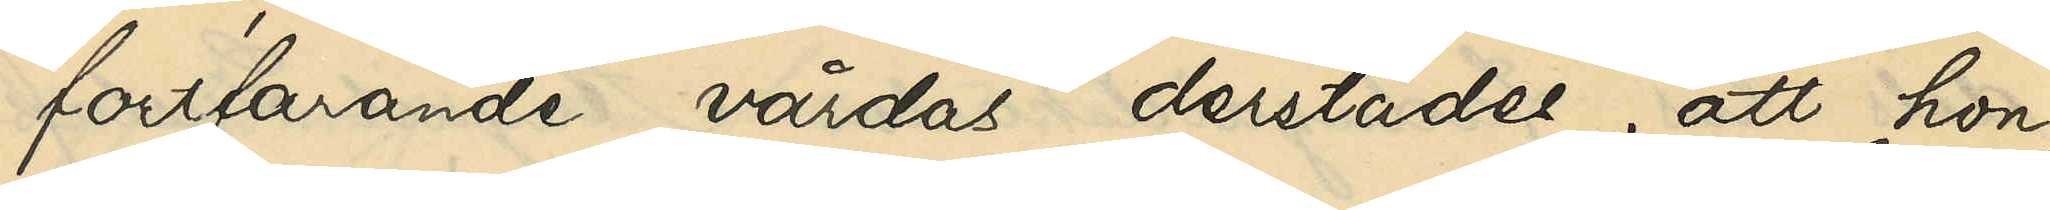fortfarande vårdas derstädes; att hon,
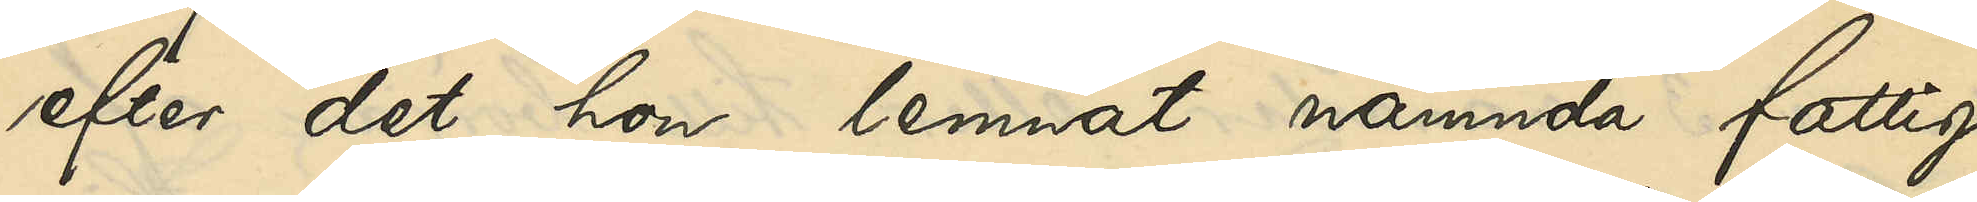efter det hon lemnat nämnda fattig¬
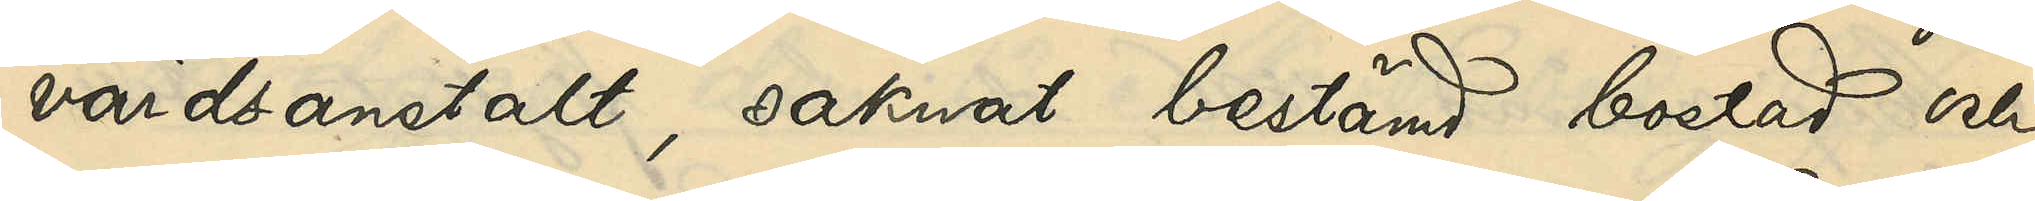vårdsanstalt, saknat bestämd bostad och
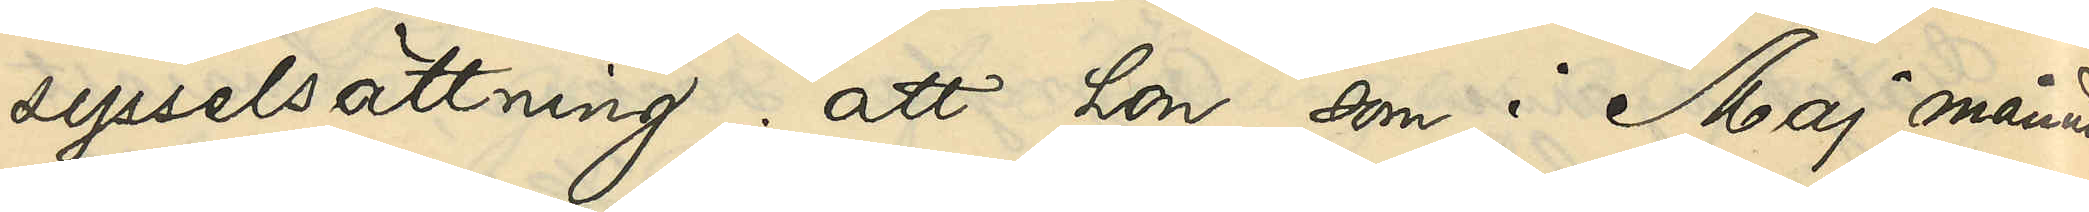sysselsättning; att hon som i Maj månad
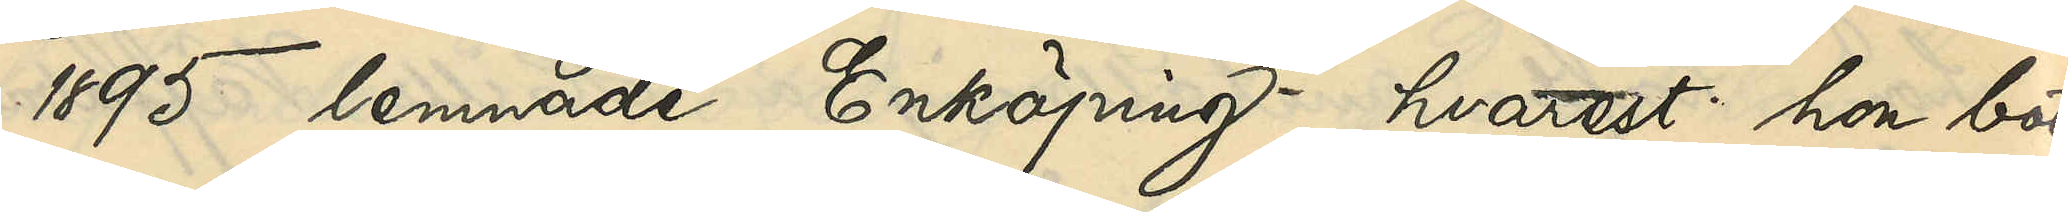1895 lemnade Enköping, hvarest hon bott
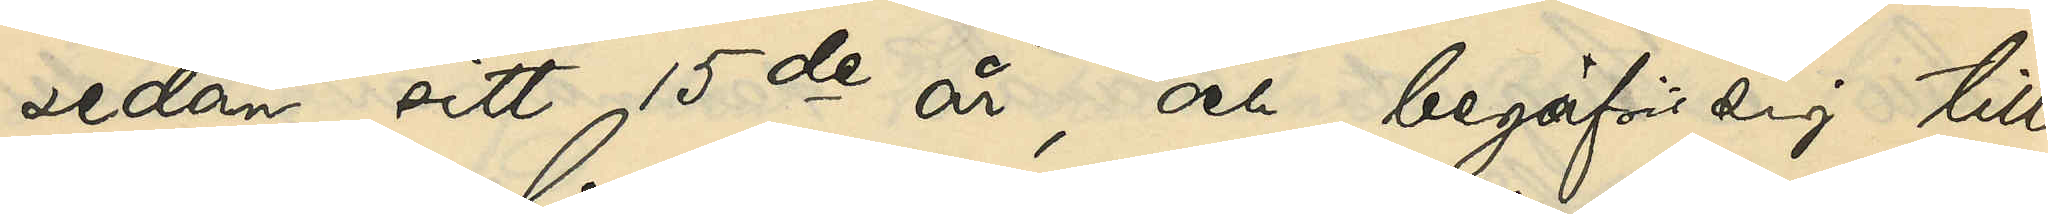sedan sitt 15de år, och begafs sig till
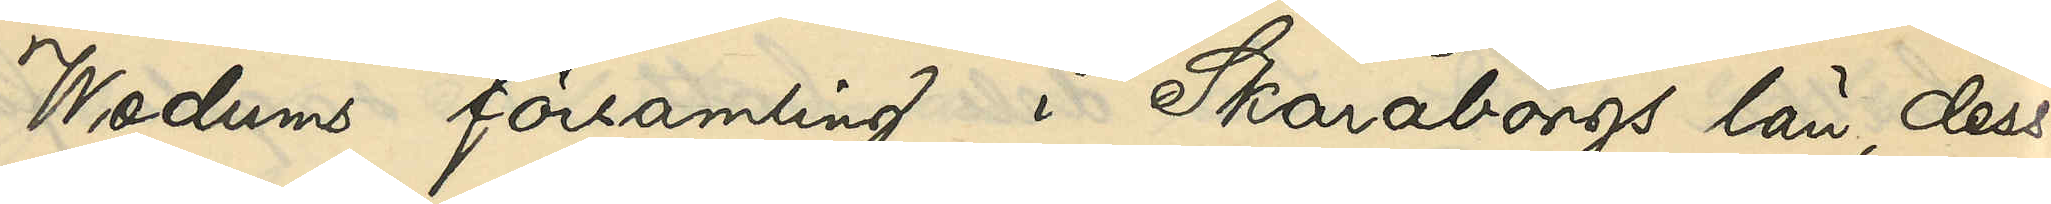Wedums församling i Skaraborgs län, dess¬
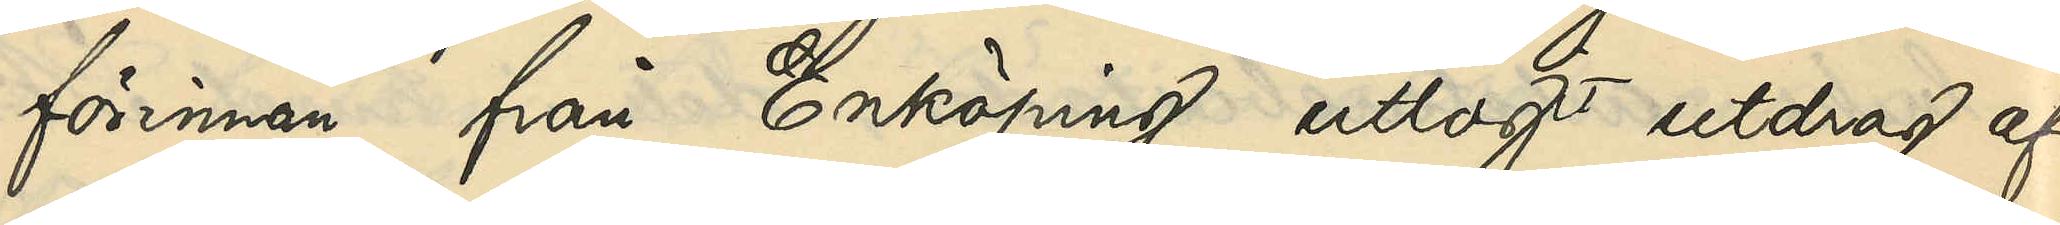förinnan från Enköping uttagit utdrag af
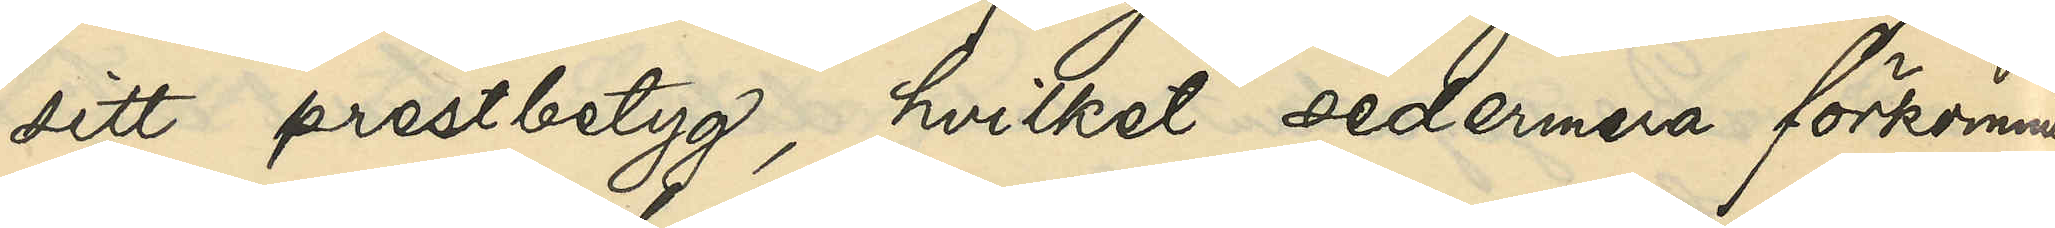sitt prestbetyg, hvilket sedermera förkommit,
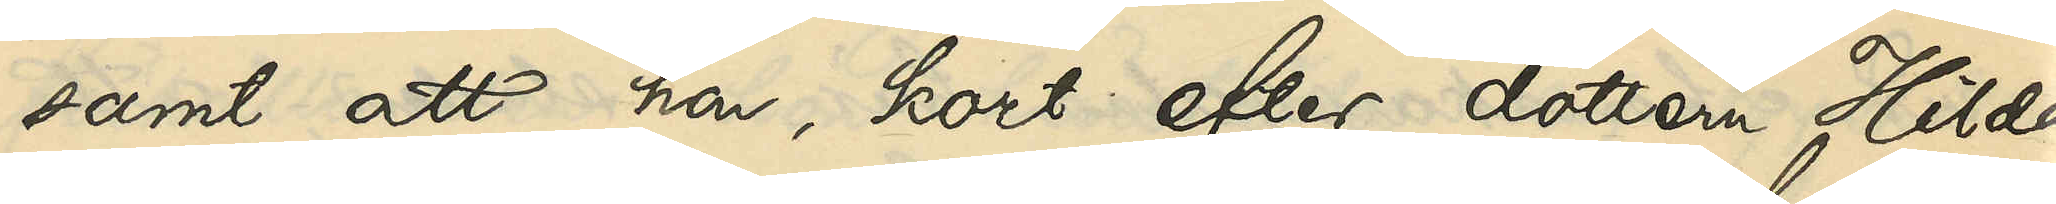samt att hon, kort efter dottern Hilda
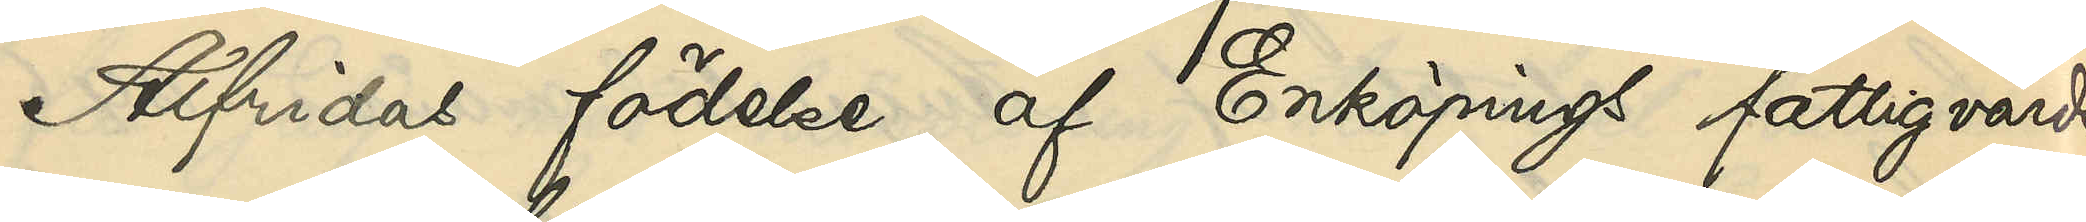Alfridas födelse, af Enköpings fattigvårds¬
